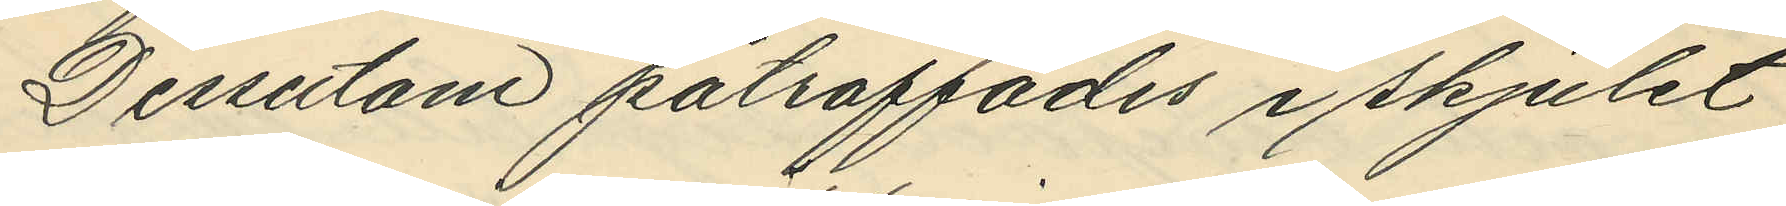Dessutom påtraffades i skjulet
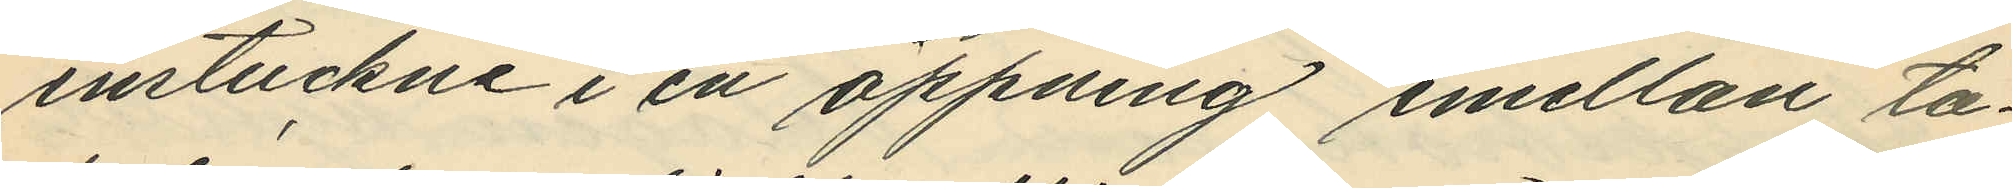instuckne i en öppning emellan ta¬
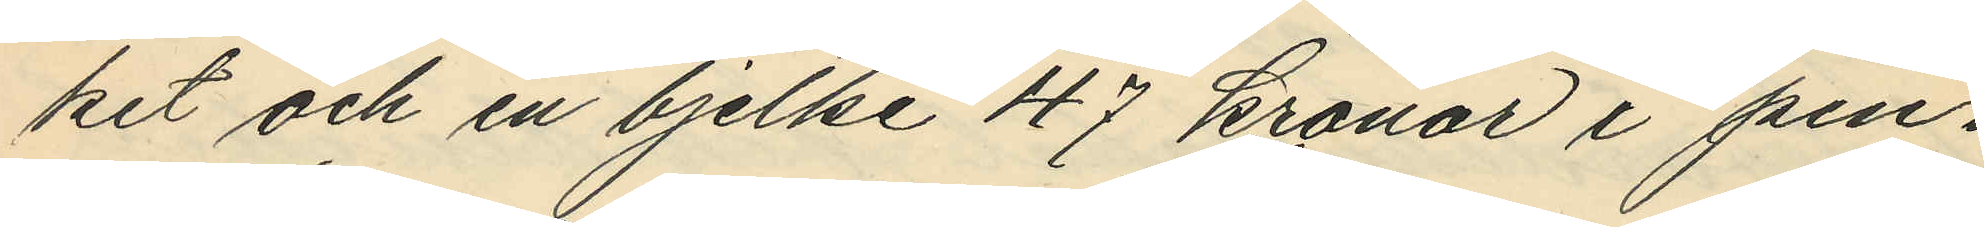ket och en bjelke 47 kronor i pen¬
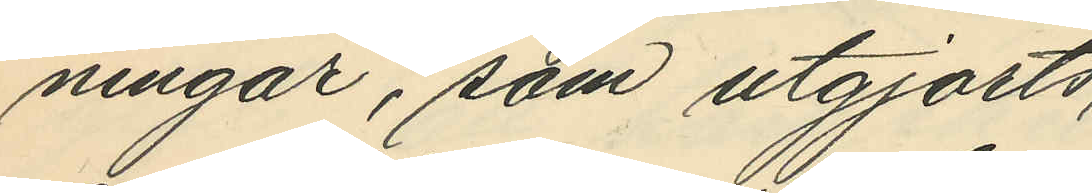ningar, som utgjorts
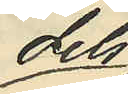dels
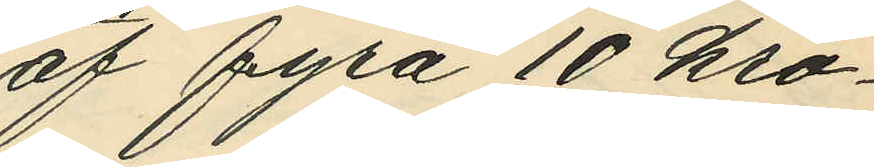af fyra 10 kro¬
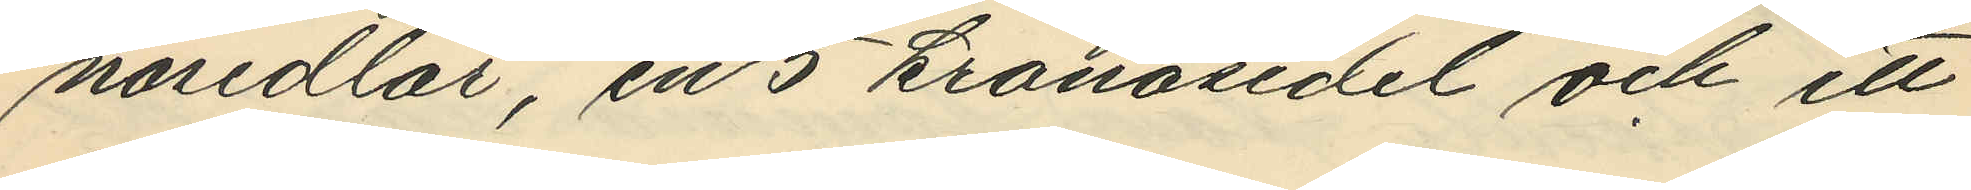nosedlar, en 5 kronosedel och ett
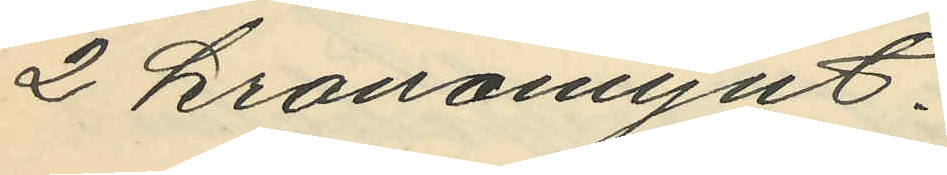2 kronomynt.
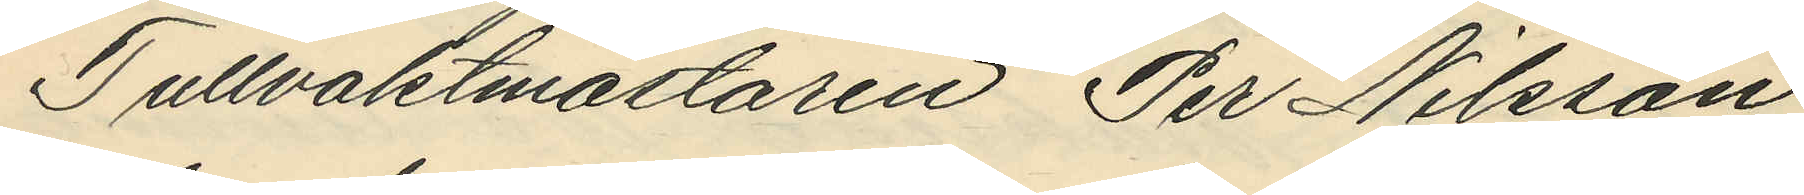Tullvaktmästaren Per Nilsson
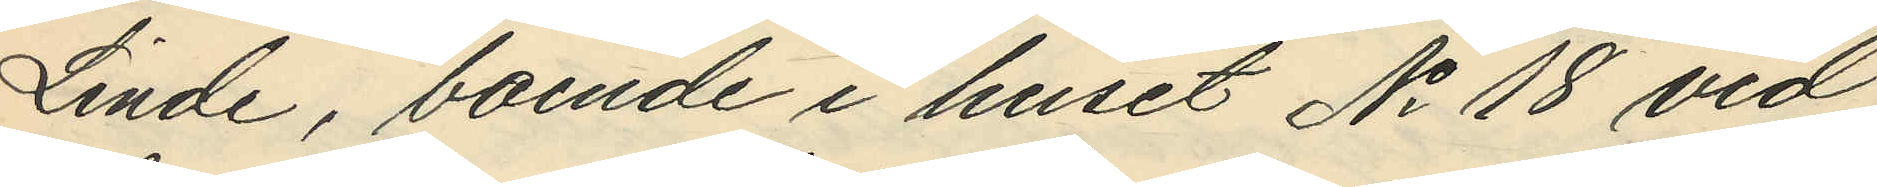Linde, boende i huset No 18 vid
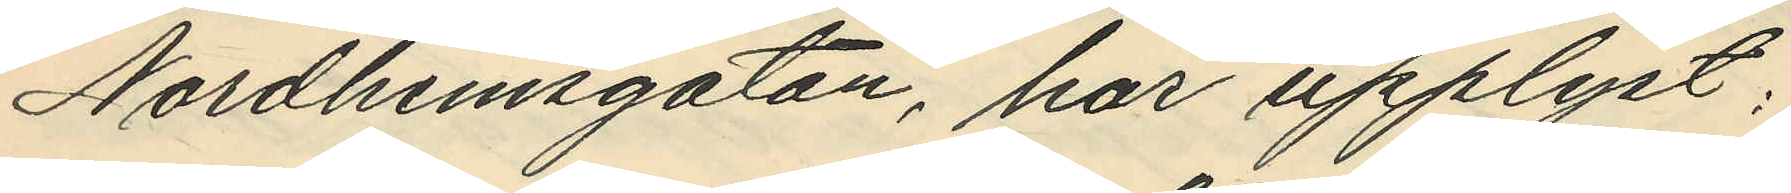Nordhemsgatan, har upplyst:
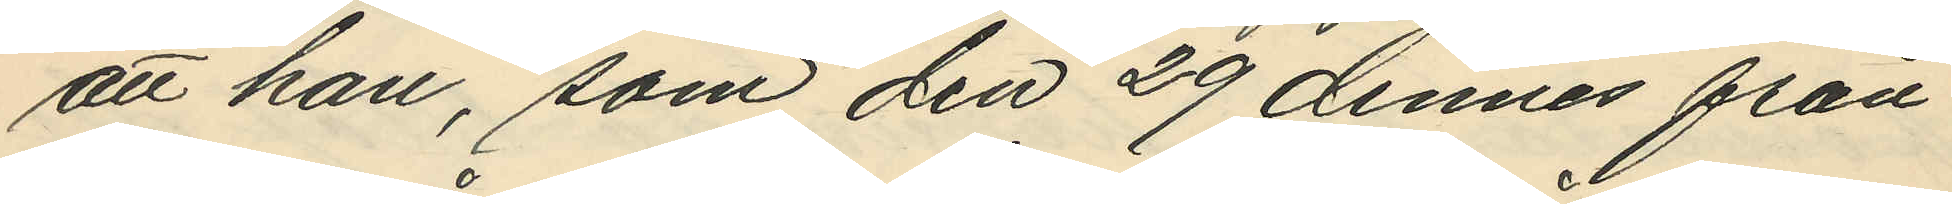att han, som den 29 dennes från
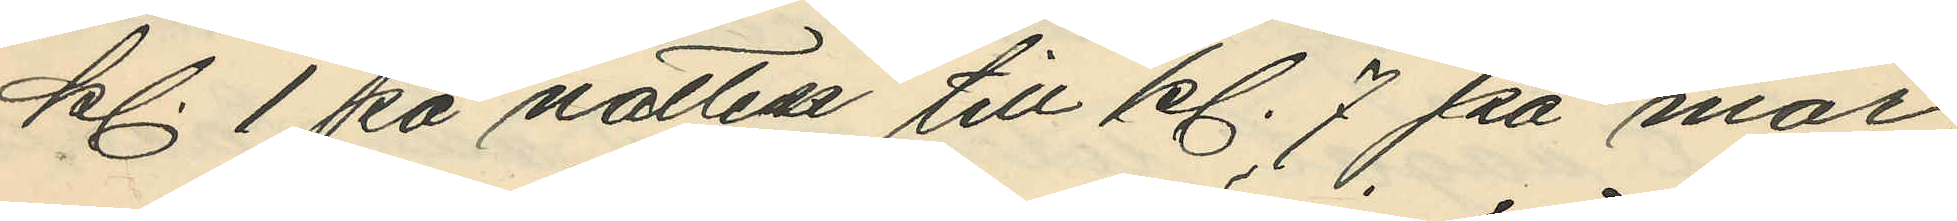kl. 1 på natten till kl. 7 på mor
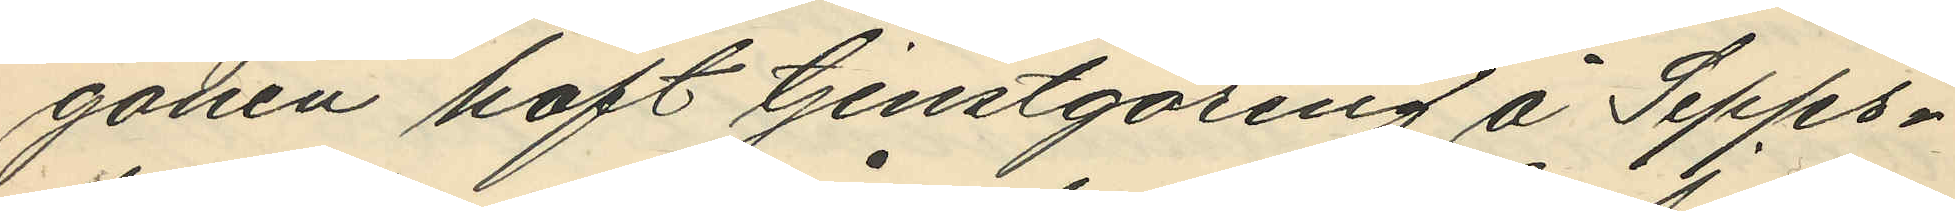gonen haft tjenstgöring å Sepps¬
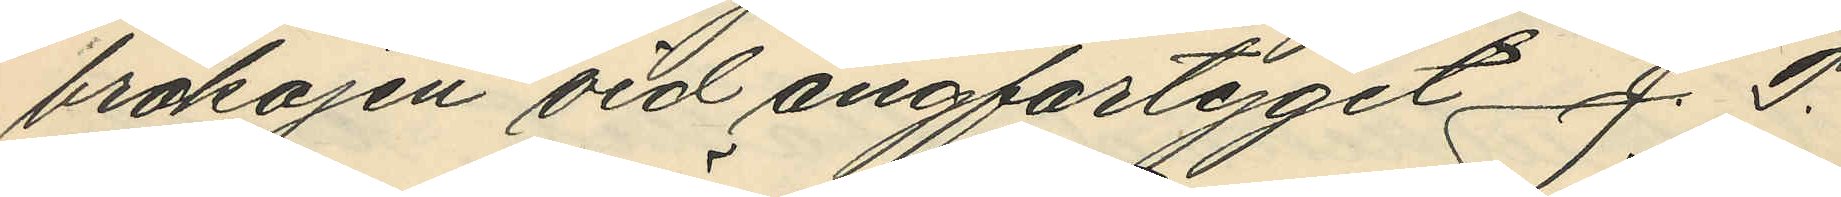brokajen vid ångfartyget J. P.
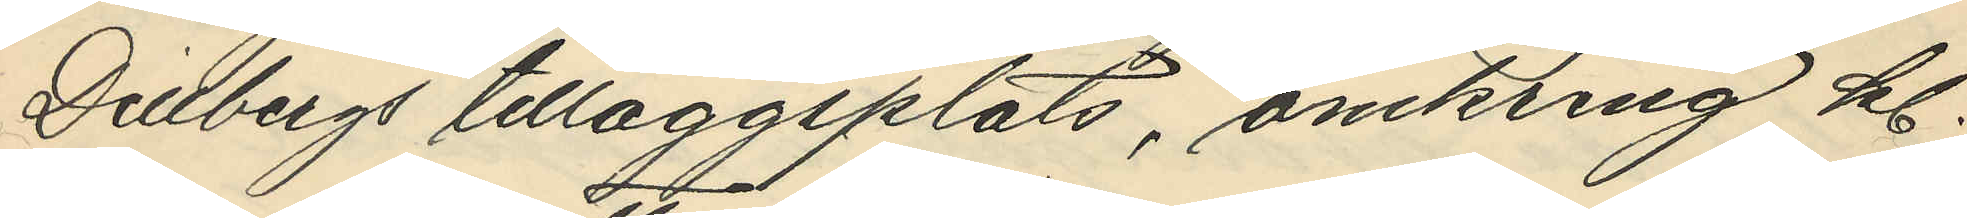Dillbergs tilläggsplats, omkring kl.
